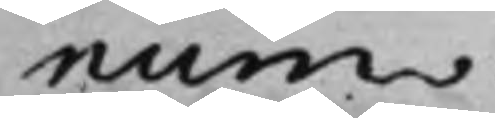num.
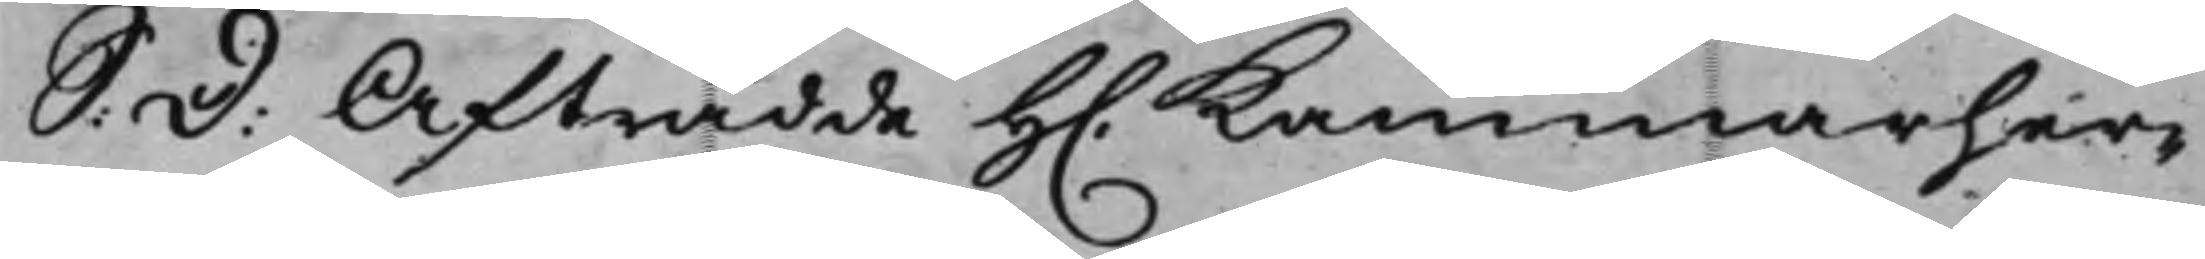S: D: Afträdde H. Kammarher¬
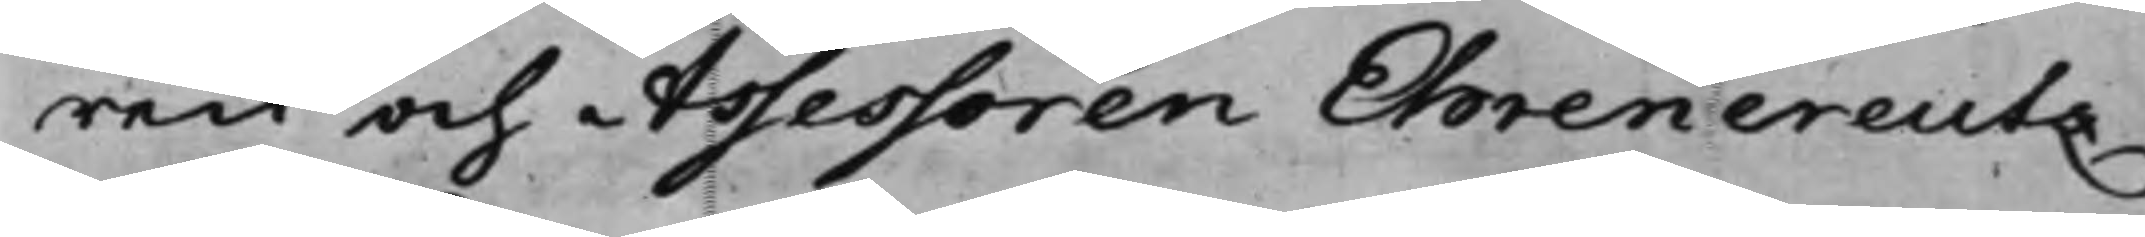ren och Assessoren Ehrencreutz
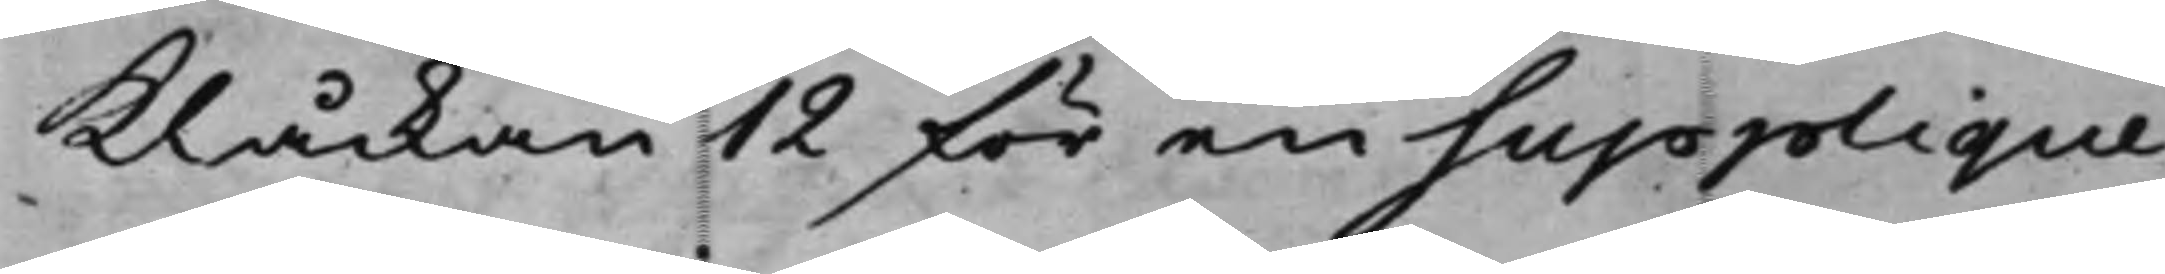Klåckan 12 för en Supplique
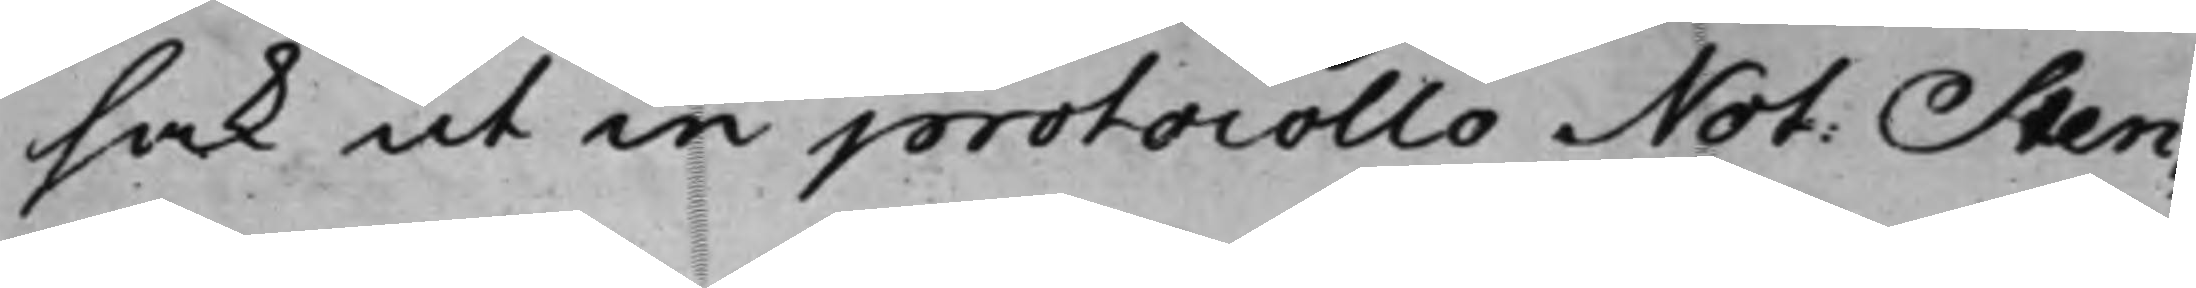sak ut in protocollo Not: Sten¬
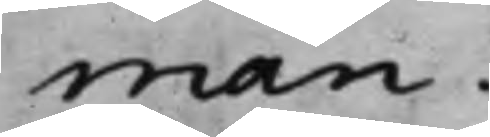man.
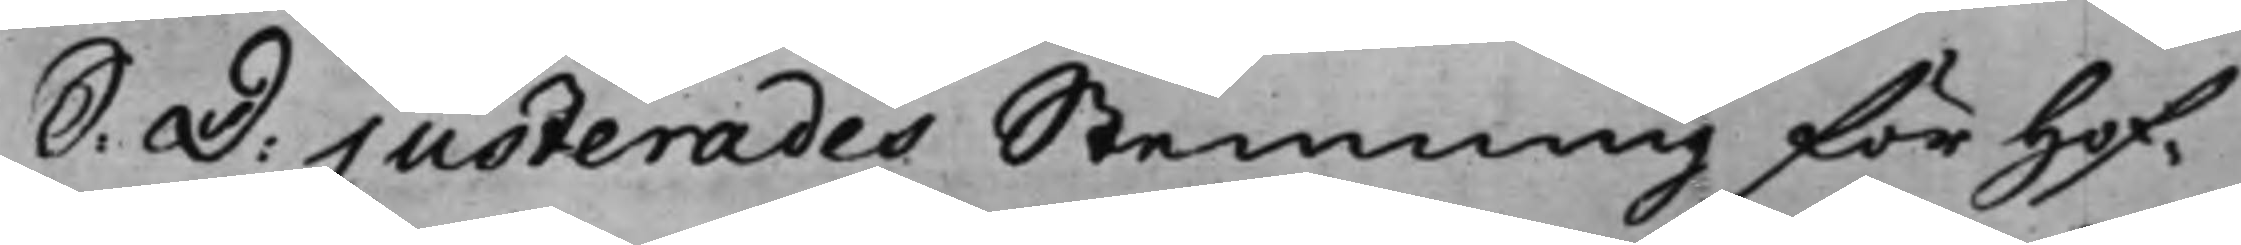S: D: Justerades Stemning för Hof¬
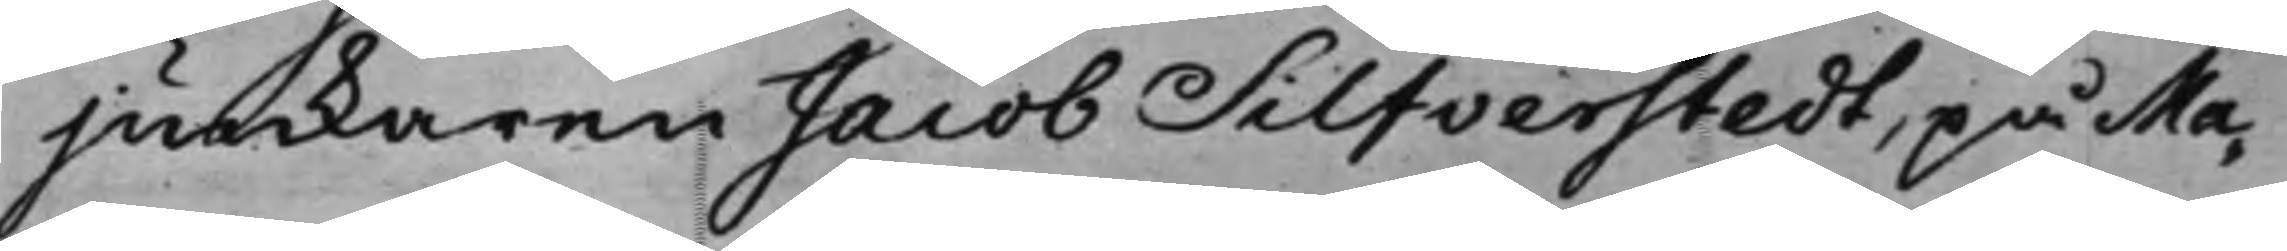junkaren Jacob Silfverstedt, på Ma¬
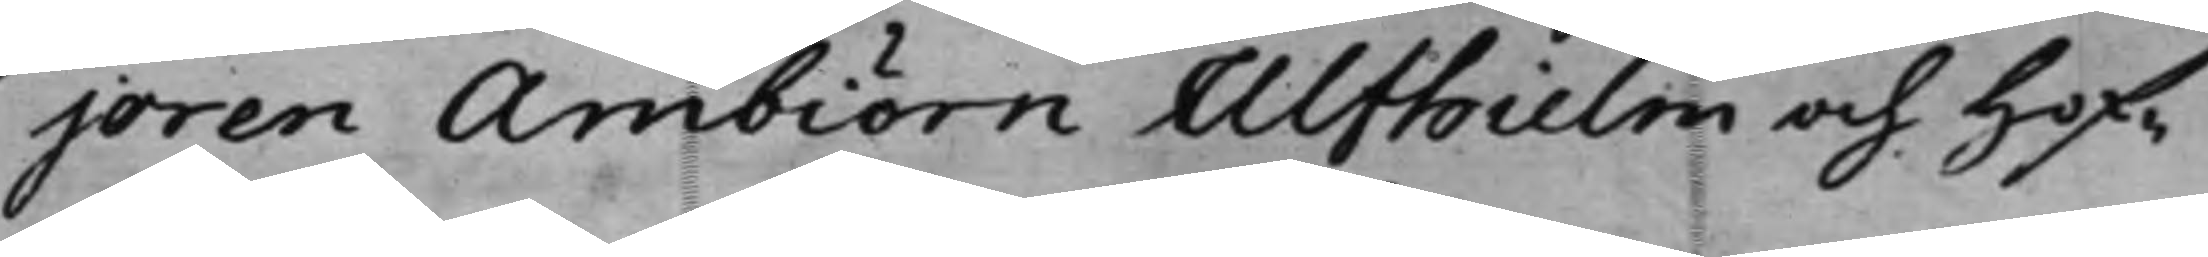joren Ambiörn Ulfhielm och Hof¬
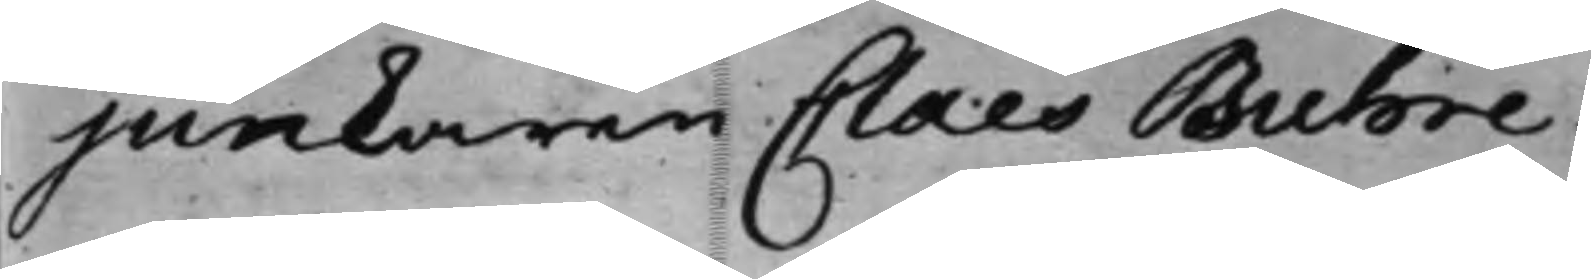junkaren Claes Buhre
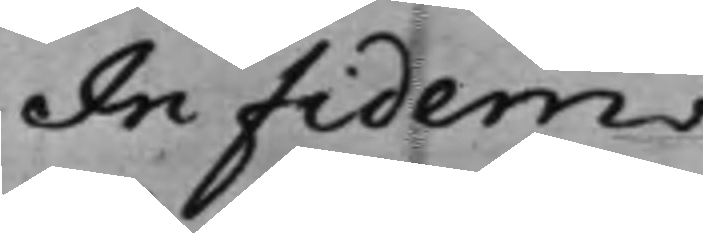In Fidem
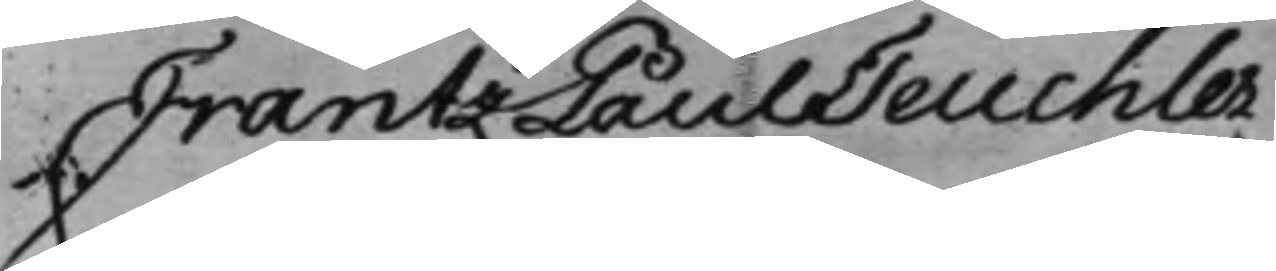Frantz Paul Teuchler
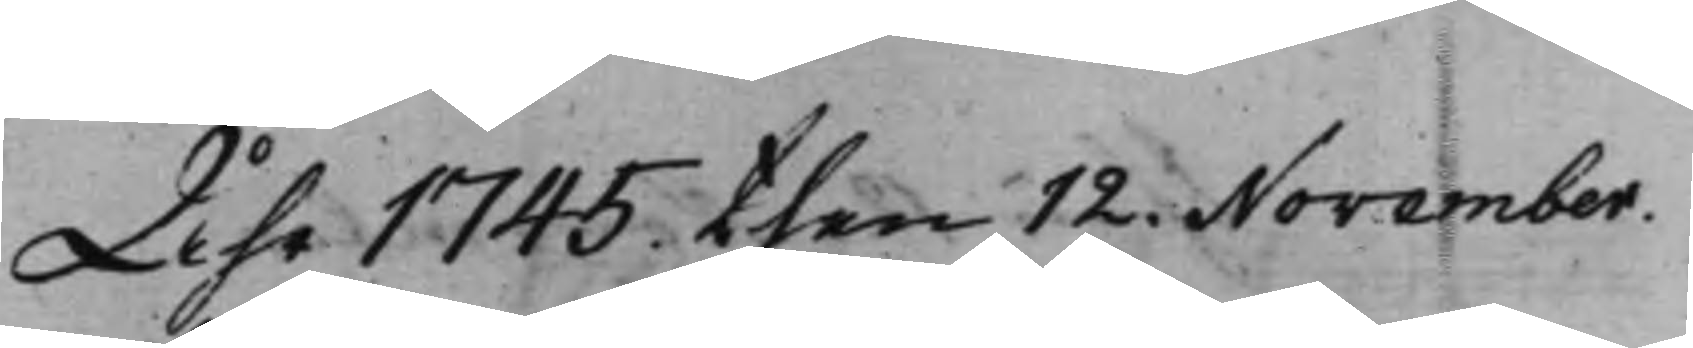Åhr 1745 then 12. November.
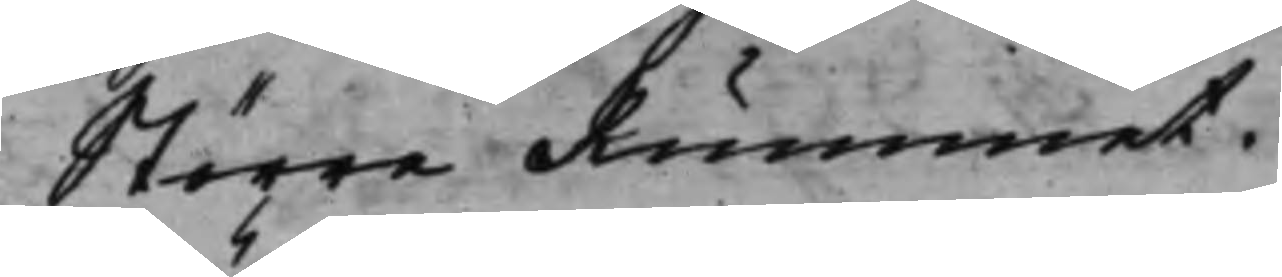Större Rummet.
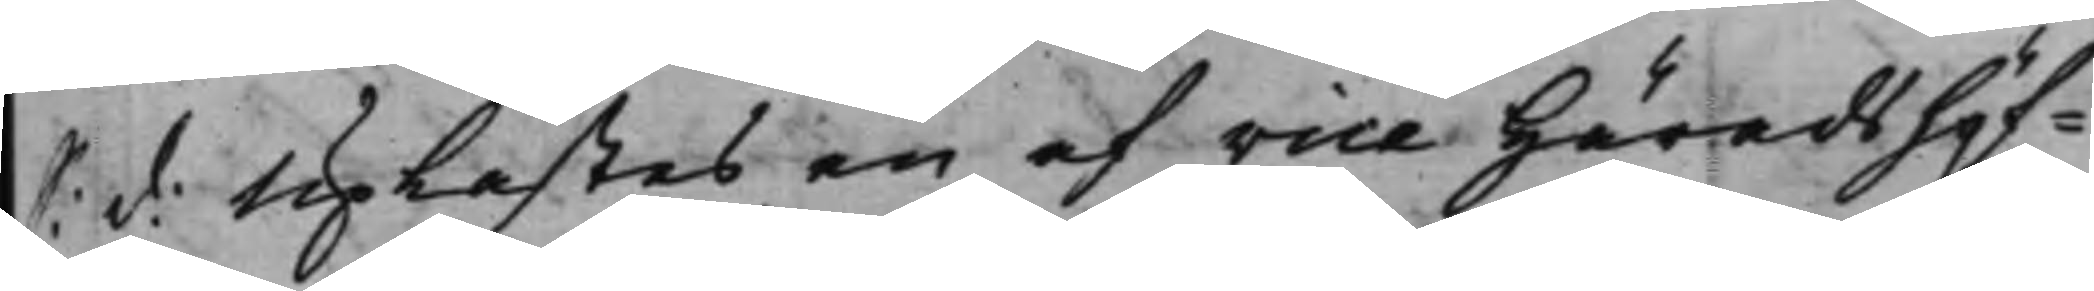S: d: Uplästes en af vice Häradshöf¬
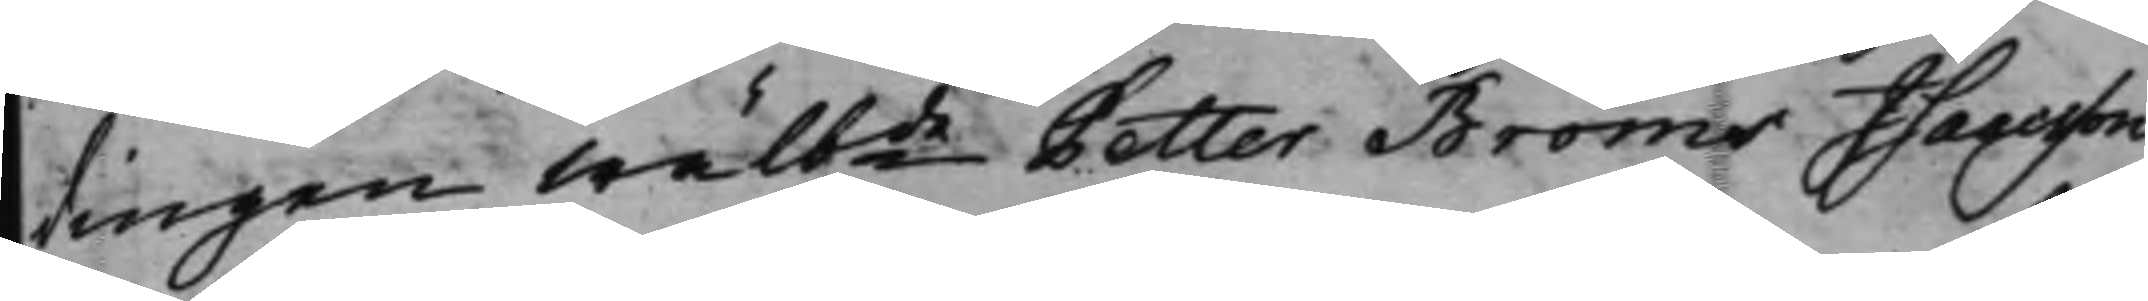dingen Wälbde Petter Bröms Isaacsson
